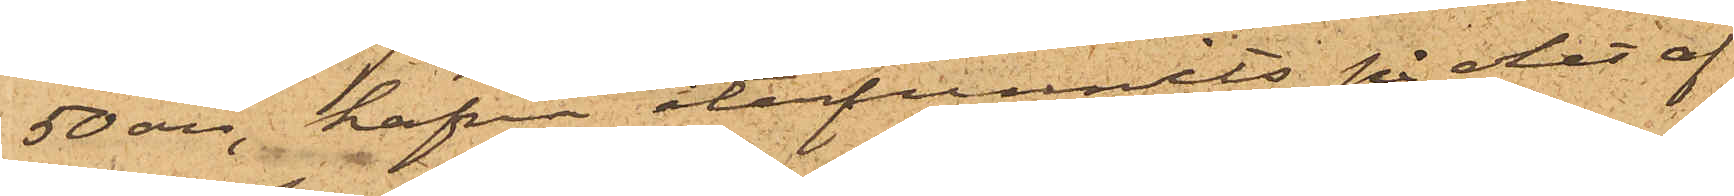50 öre, hafva återfunnits på det af
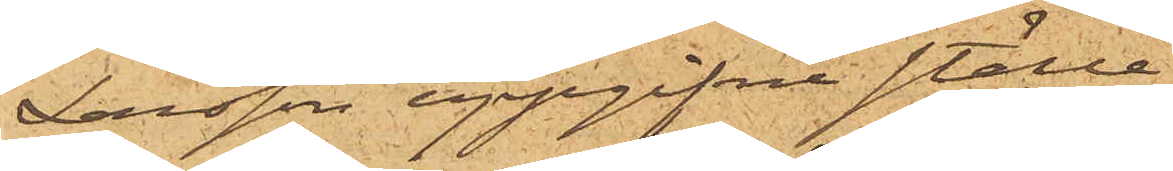Larsson uppgifne ställe
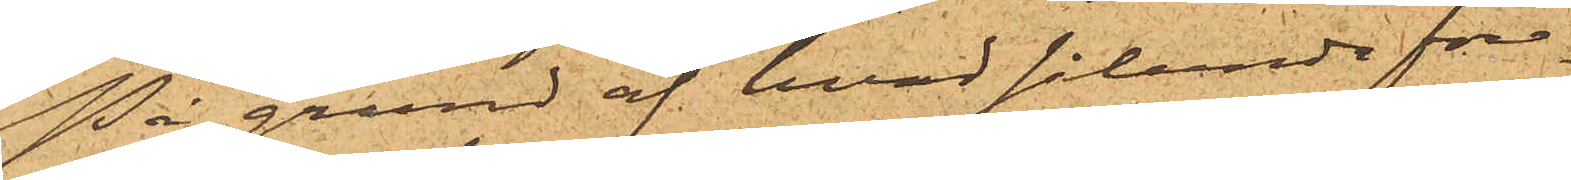På grund af hvad sålunda före¬
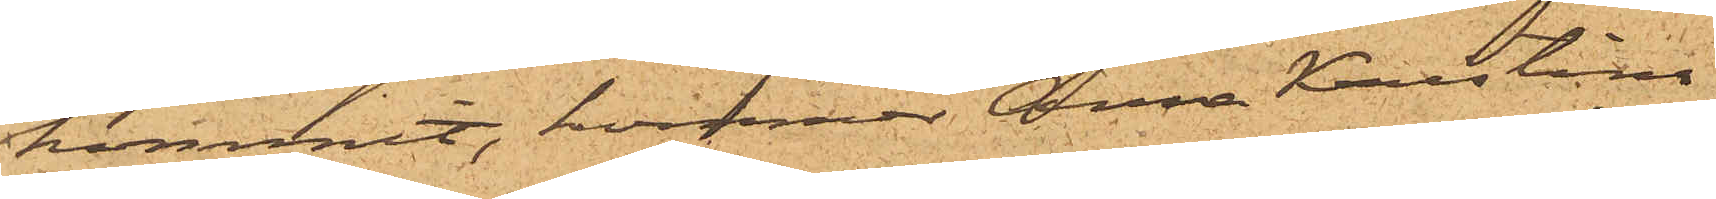kommit, kommer Anna Kristina
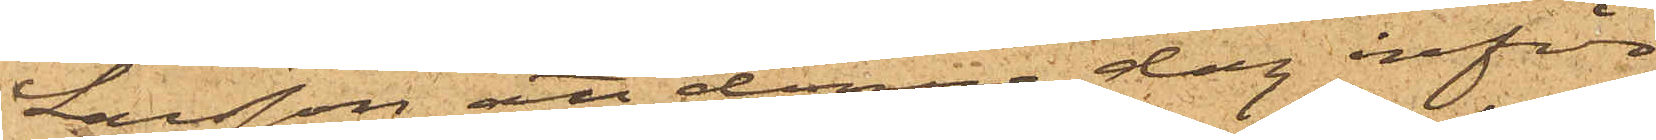Larsson att denna dag inför
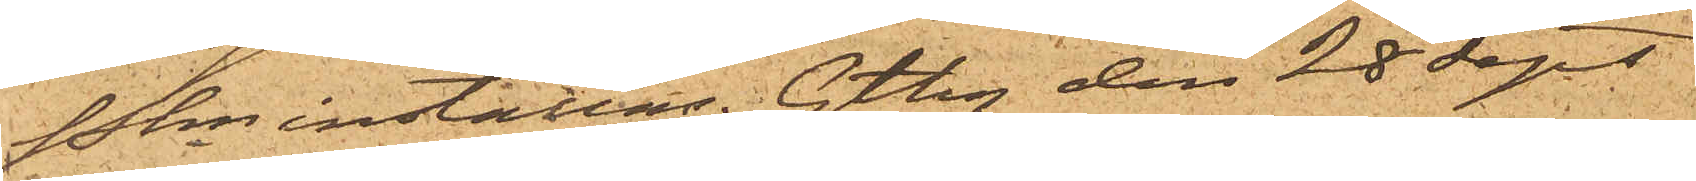Pkn inställas. Gtbg den 28 Sept
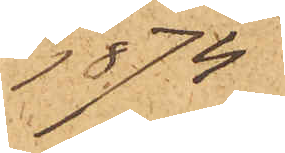1874
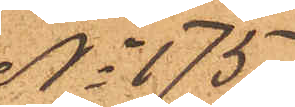No 175
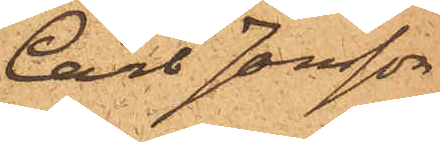Carl Jonsson
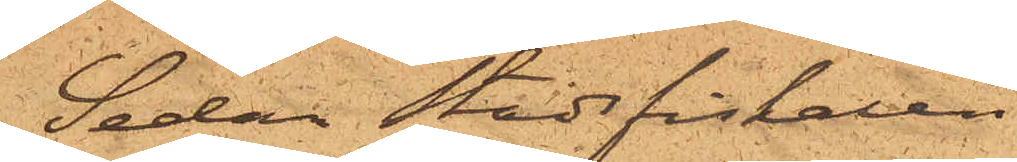Sedan stadsfiskalen
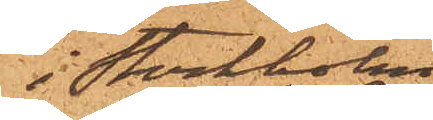i Stockholm
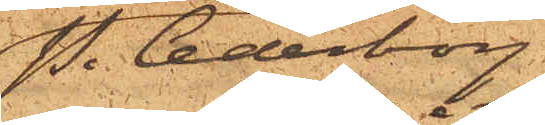P. Cederborg
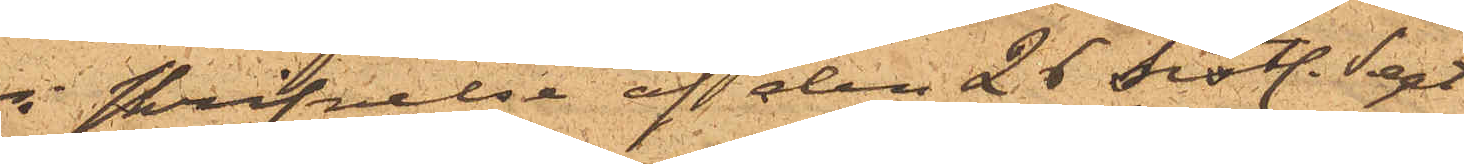i skrifvelse af den 25 sist. Sept.
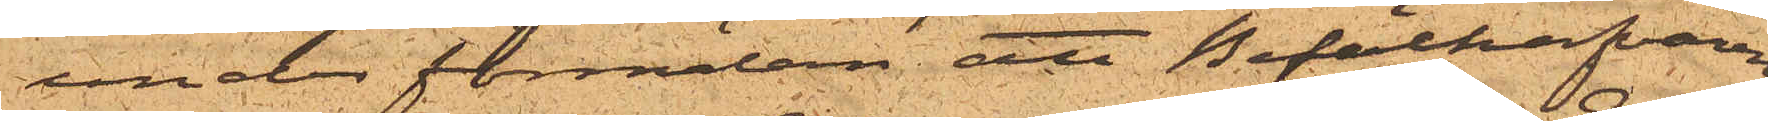under förmälan att Befälhafvaren
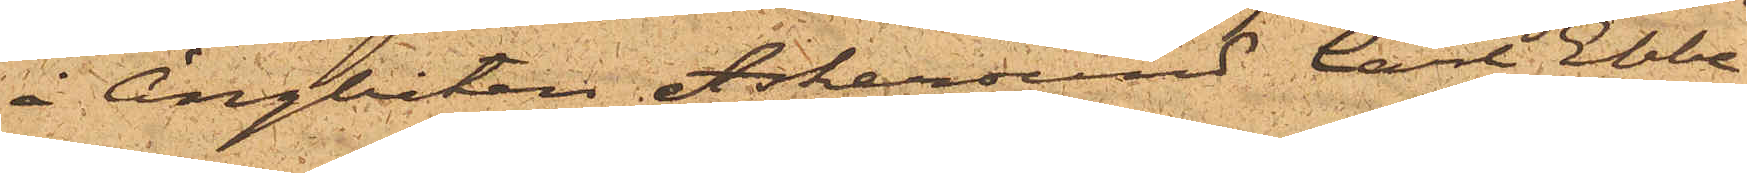å Ångbåten Askersund Carl Ebbe
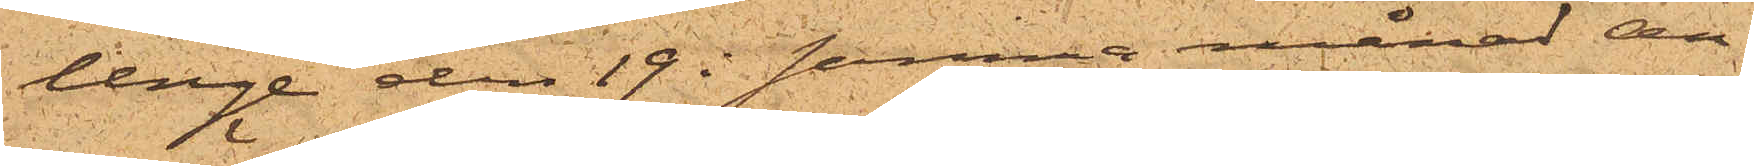Unge den 19 i samma månad an¬
